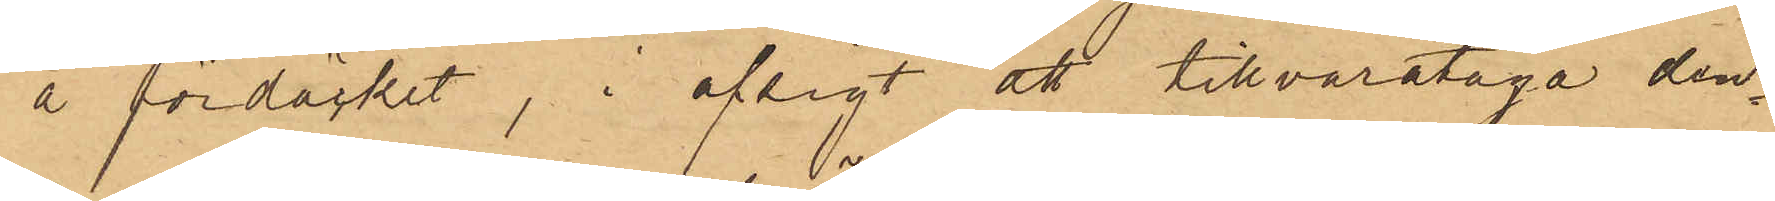å fördäcket, i afsigt att tillvarataga den¬
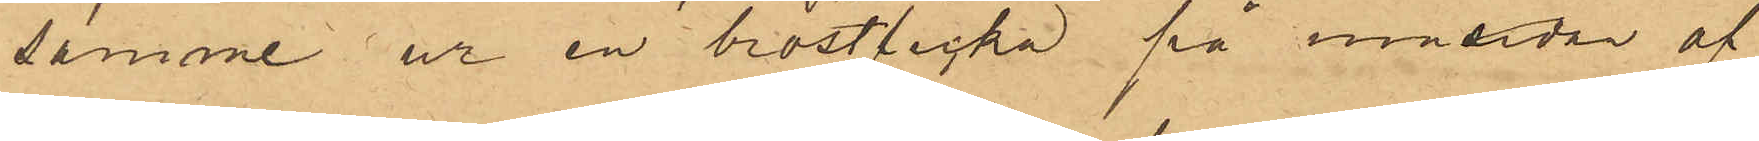samme ur en bröstficka på insidan af
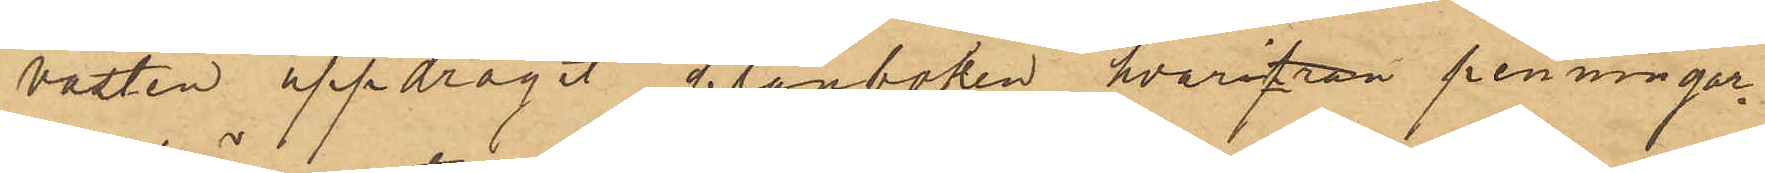västen uppdragit plånboken, hvarifrån penningar¬
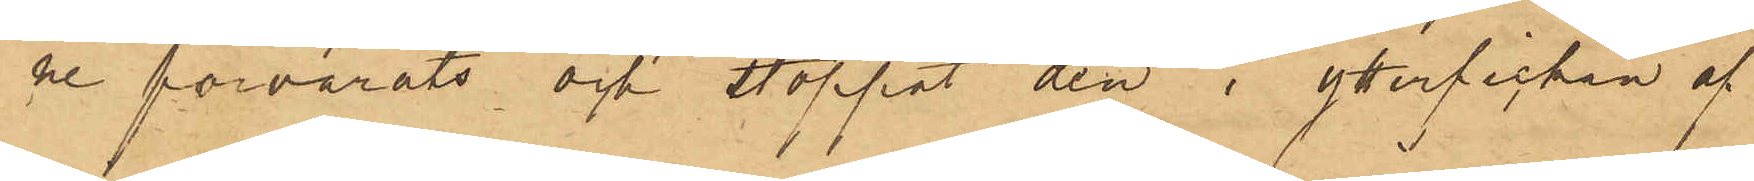ne förvarats och stoppat den i ytterfickan af
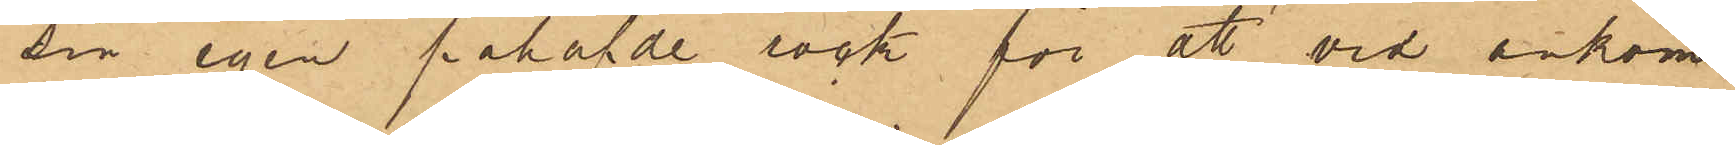sin egen påhafde rock för att vid ankom¬
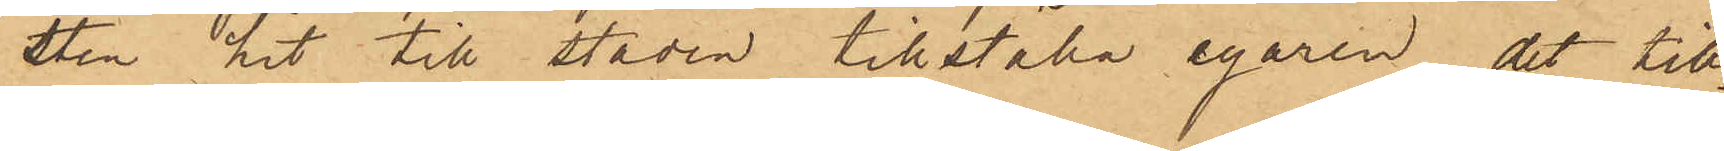sten hit till staden tillställa egaren det till¬
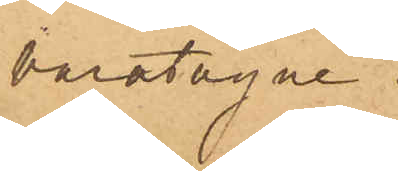varatagne.
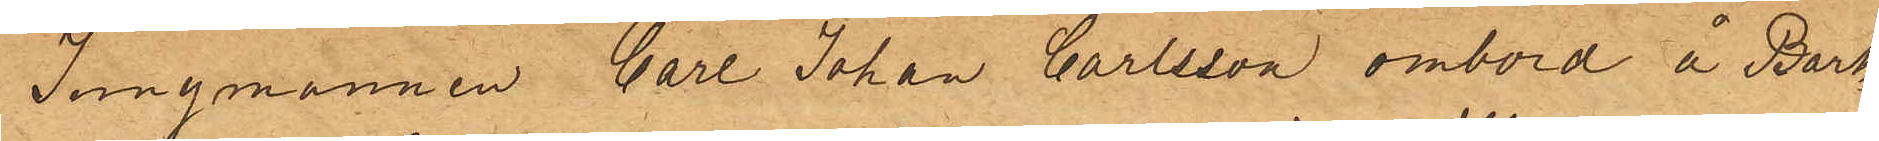Jungmannen Carl Johan Carlsson ombord å Bark¬
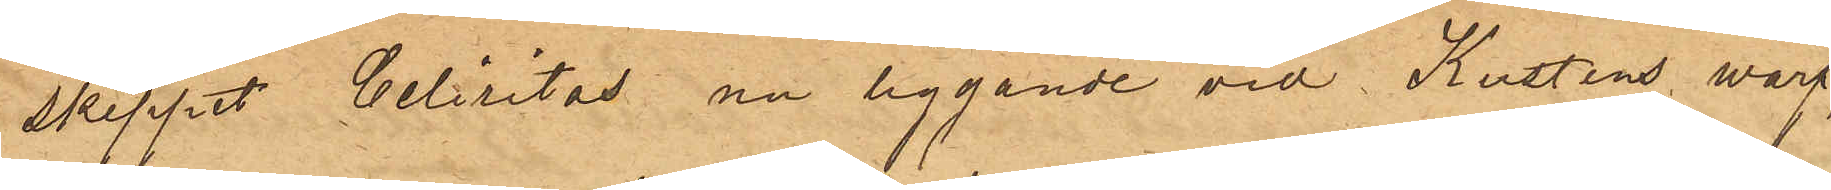skeppet Celicitas nu liggande vid Kustens warf,
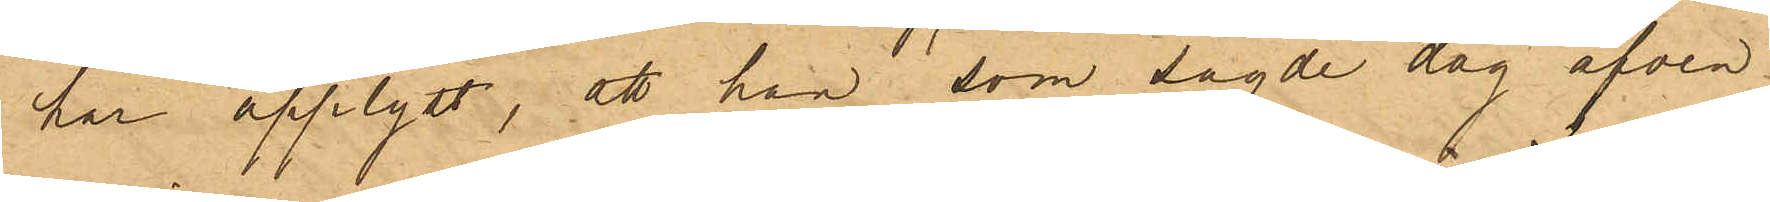har upplyst, att han som sagde dag äfven
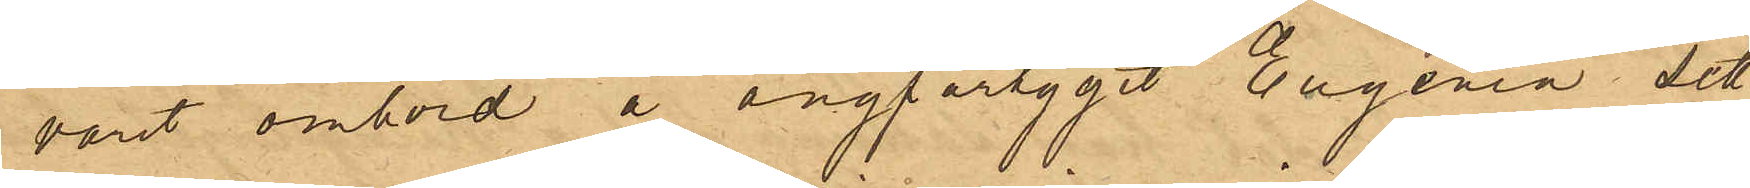varit ombord å ångfartyget Eugenia, sett
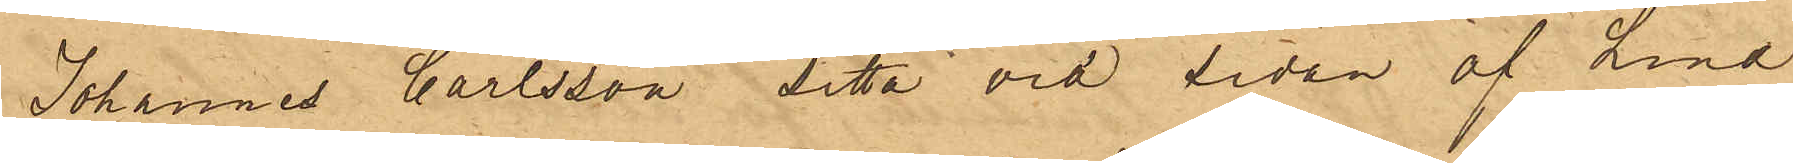Johannes Carlsson sitta vid sidan af Lind,
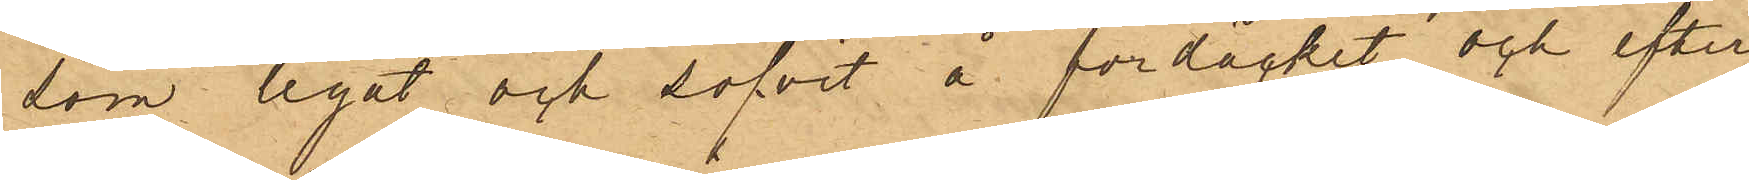som legat och sofvit å fördäcket och efter
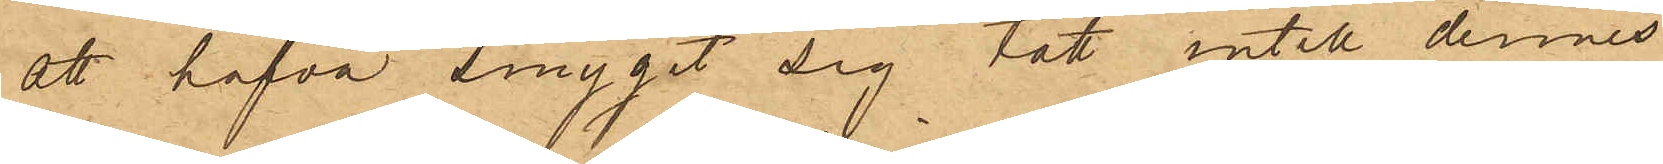att hafva smygit sig tätt intill dennes
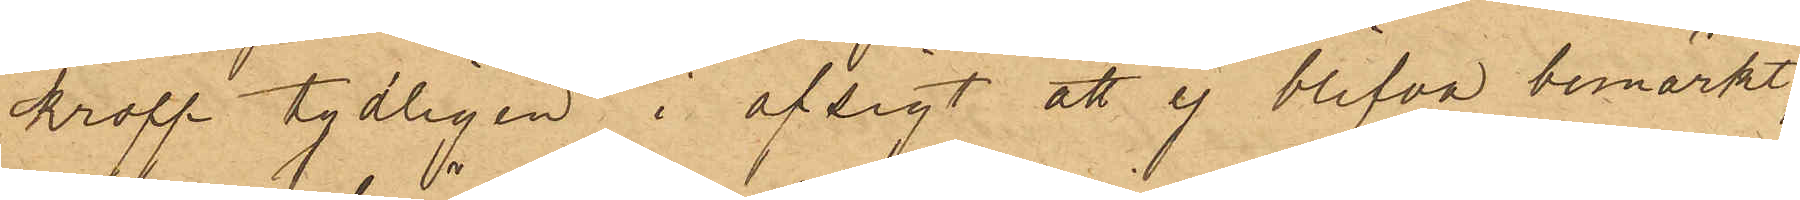kropp tydligen i afsigt att ej blifva bemärkt,
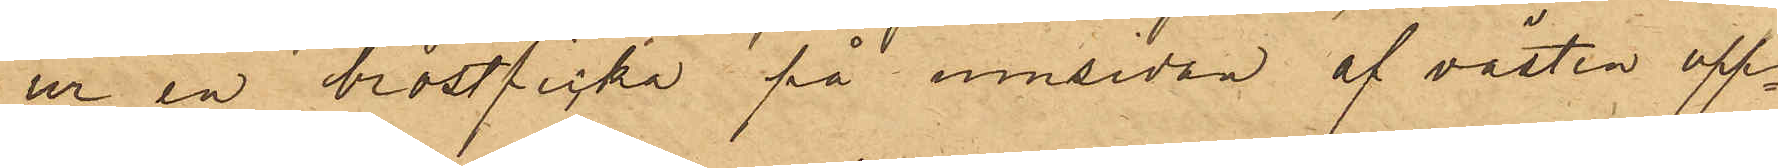ur en bröstficka på insidan af västen upp¬
